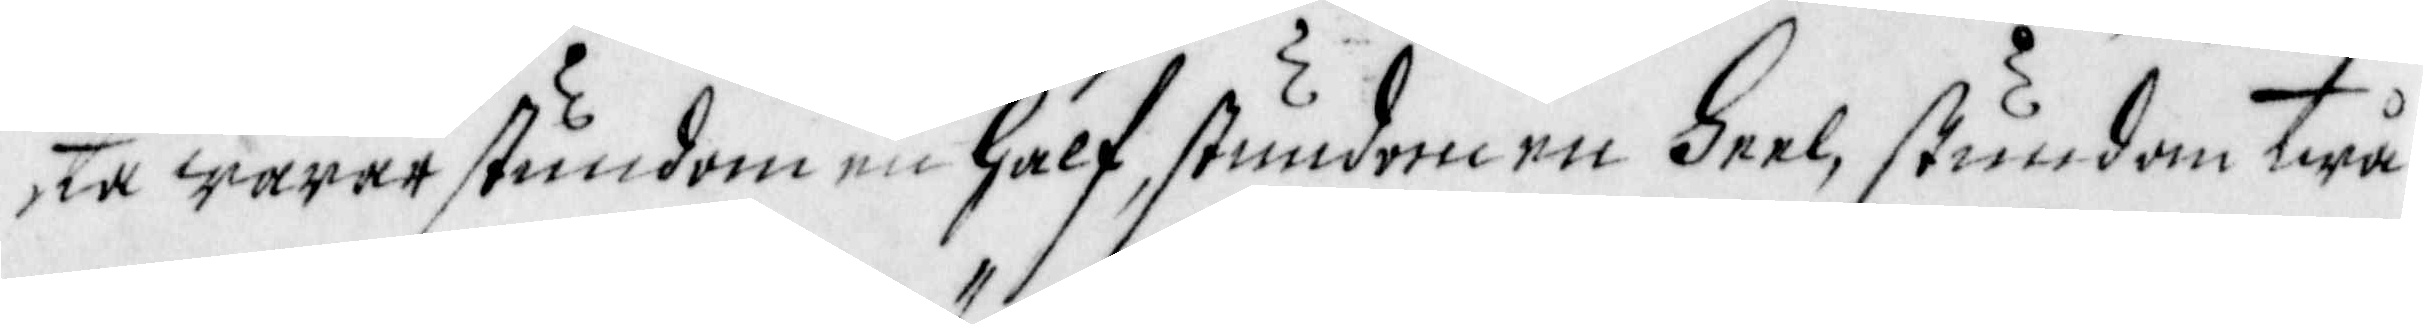te warar sundom en half, stundom en Heel, stundom twå
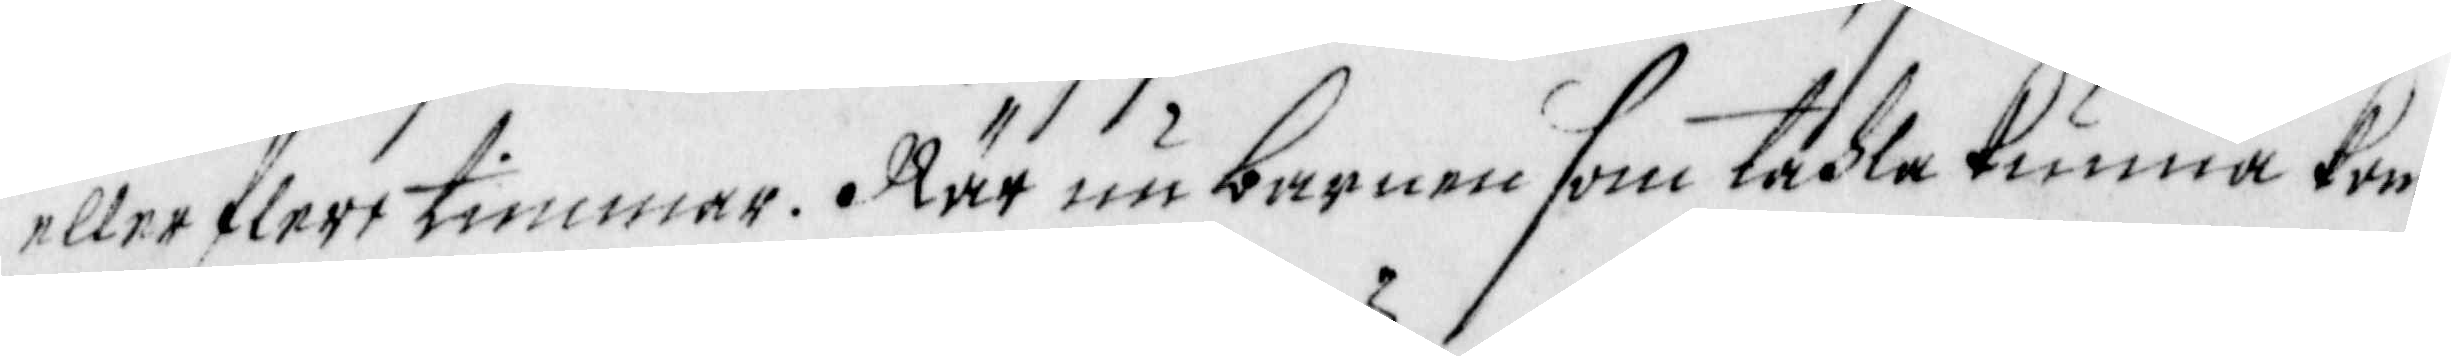eller flere timmar. När nu barnen som tahla kunna kom¬
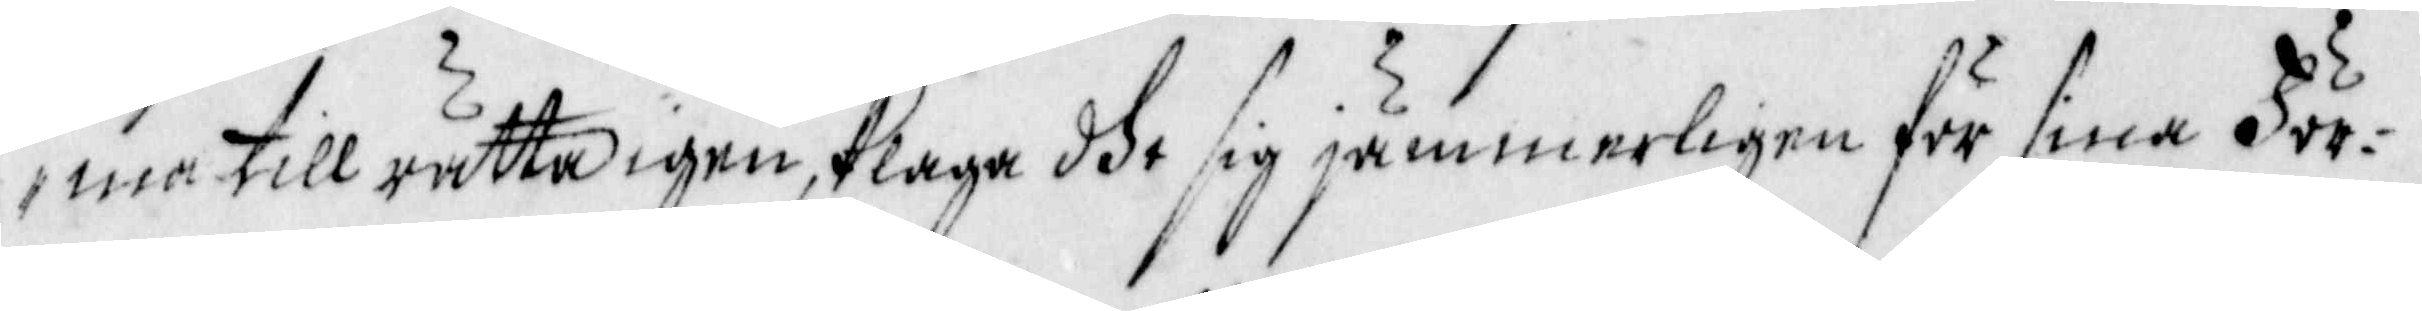ma till rätta igen, klaga dhe sig jämmerligen för sina För¬
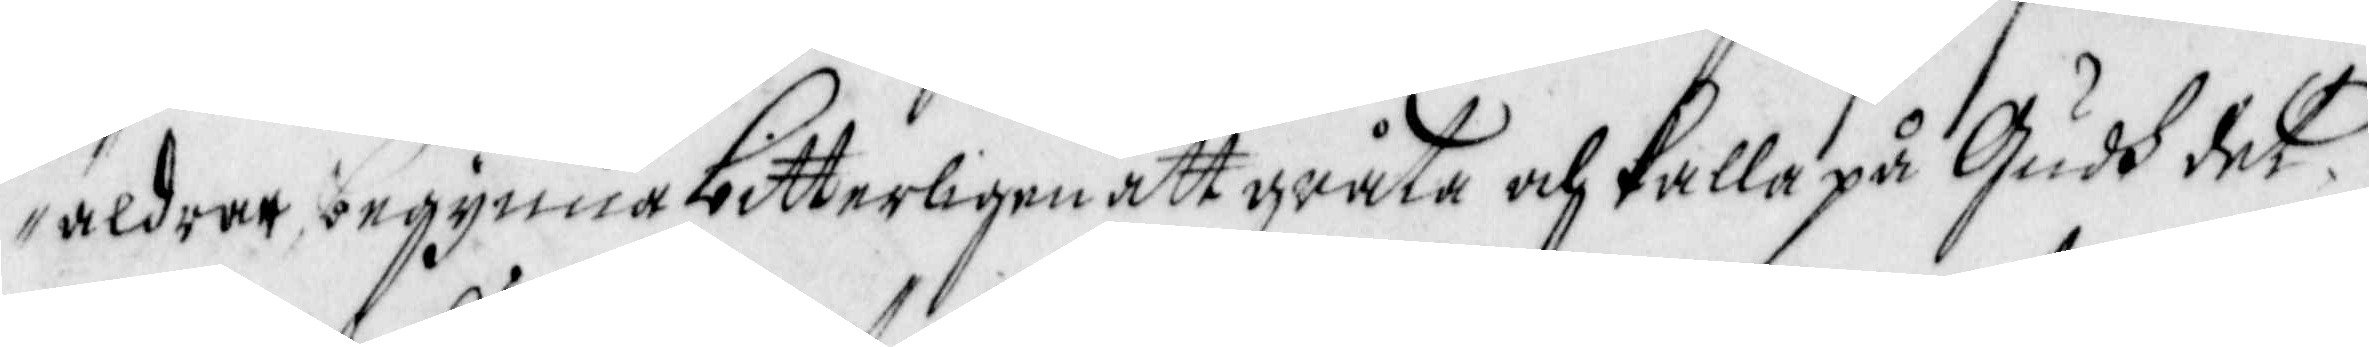äldrer begynna bitterligen att gråta och kalla på Gudh det
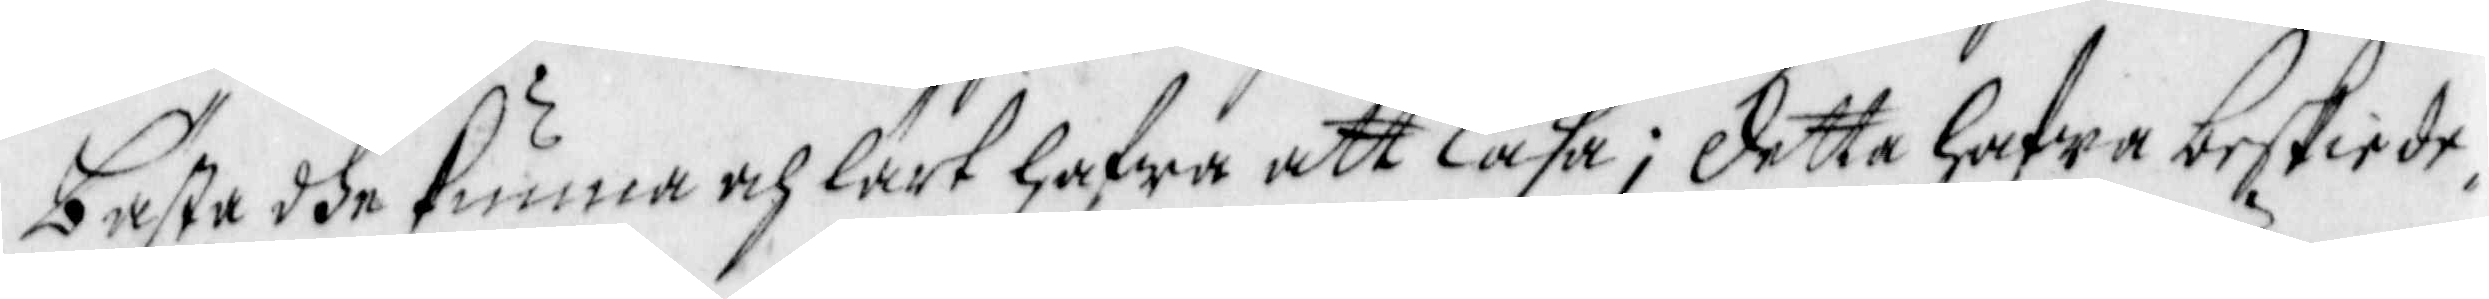bästa dhe kunna och lärt hafwa att läsa; detta hafwa beskiede¬
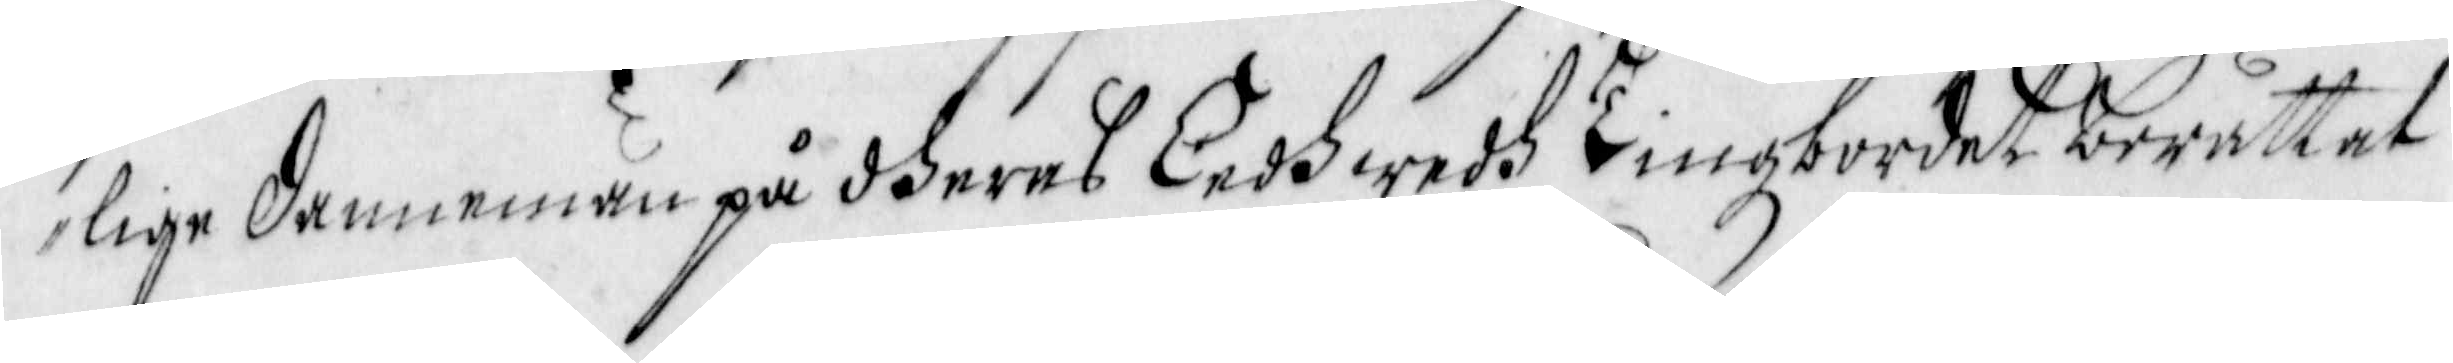lige dannemän på dheras Eedh wedh tingzbordet berättat
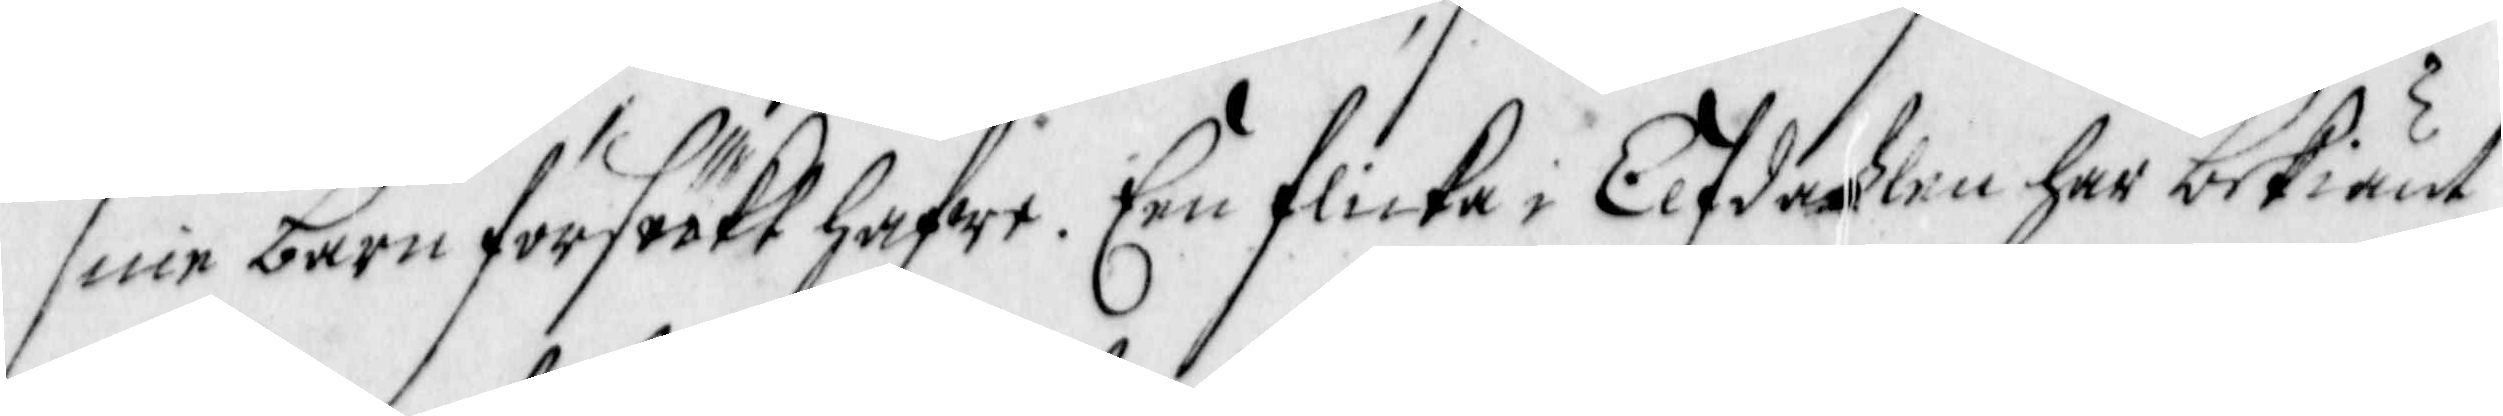sine barn försöckt hafwe. Een flicka i Elfdahlen har bekiänt
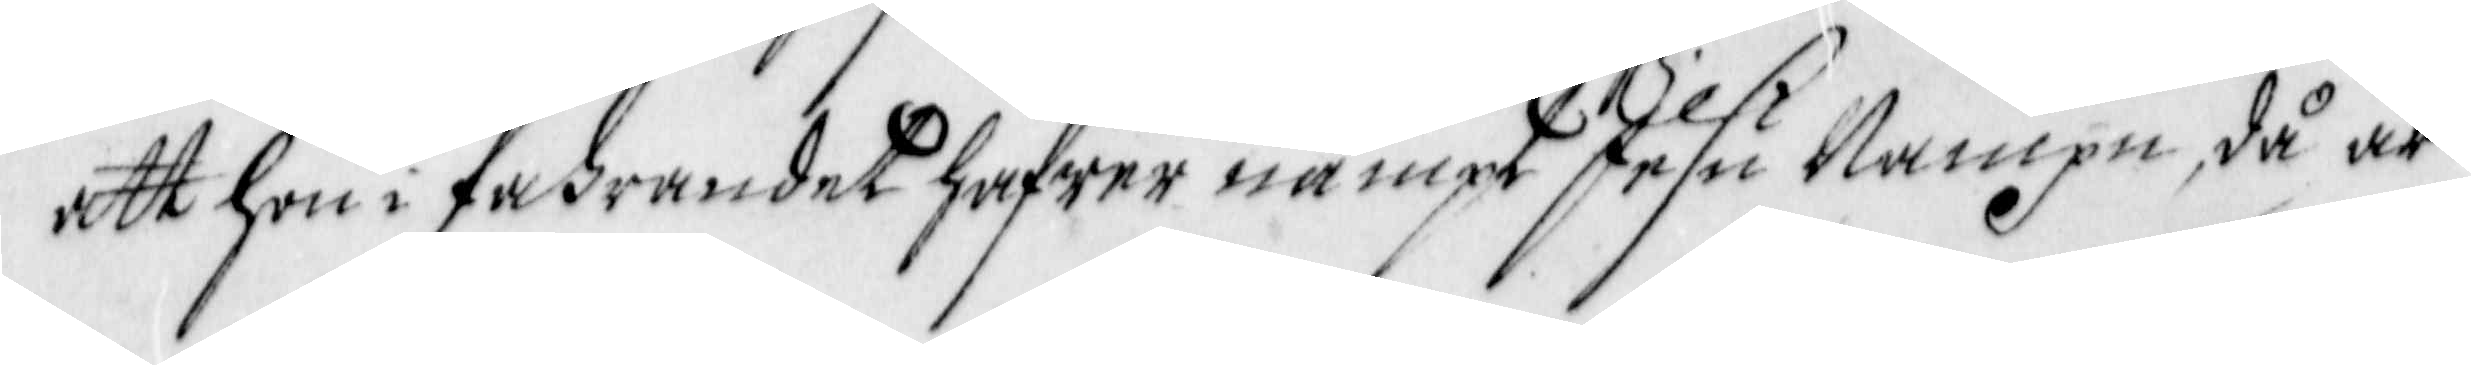att hon i fahrandet hafwer nämpt Jesu Nampn, då är
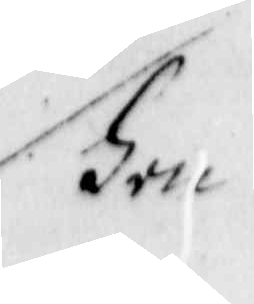Hon
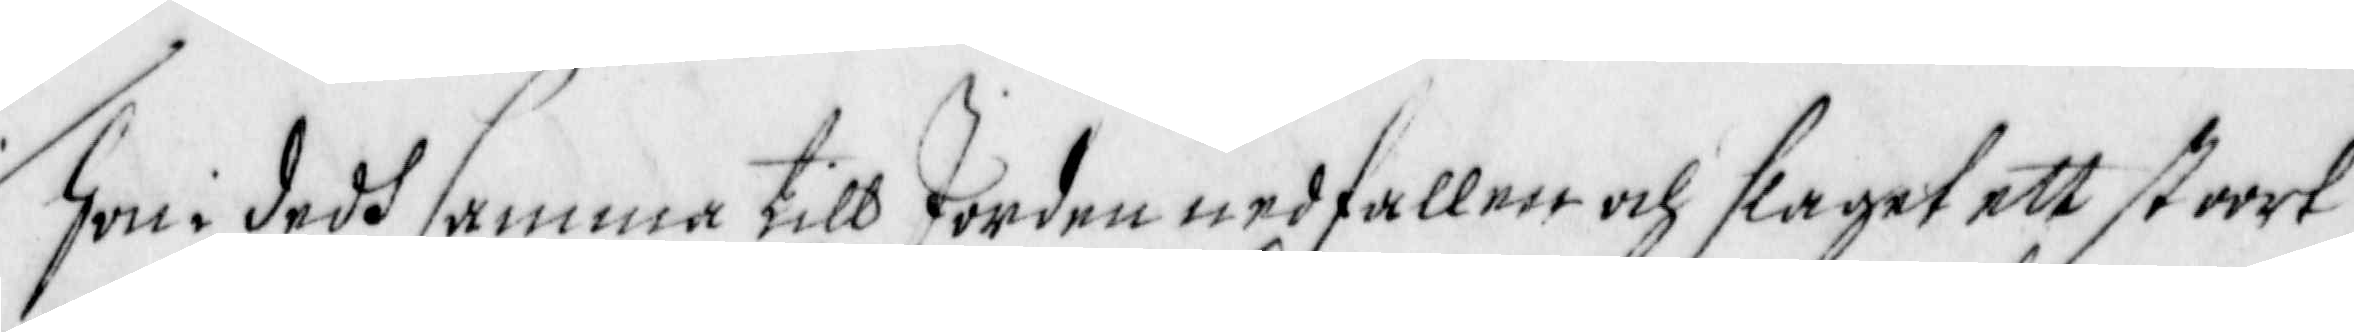Hon i dedh samma till Jorden nedfaller och slaget ett stoort
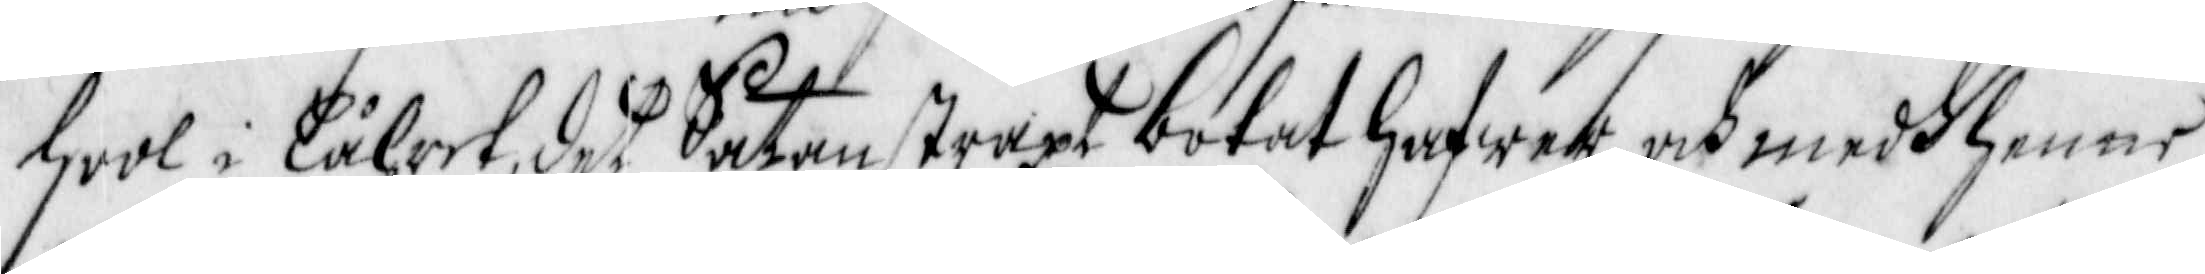hool i Låhret, det Saten straxt botat hawar, och medh henne
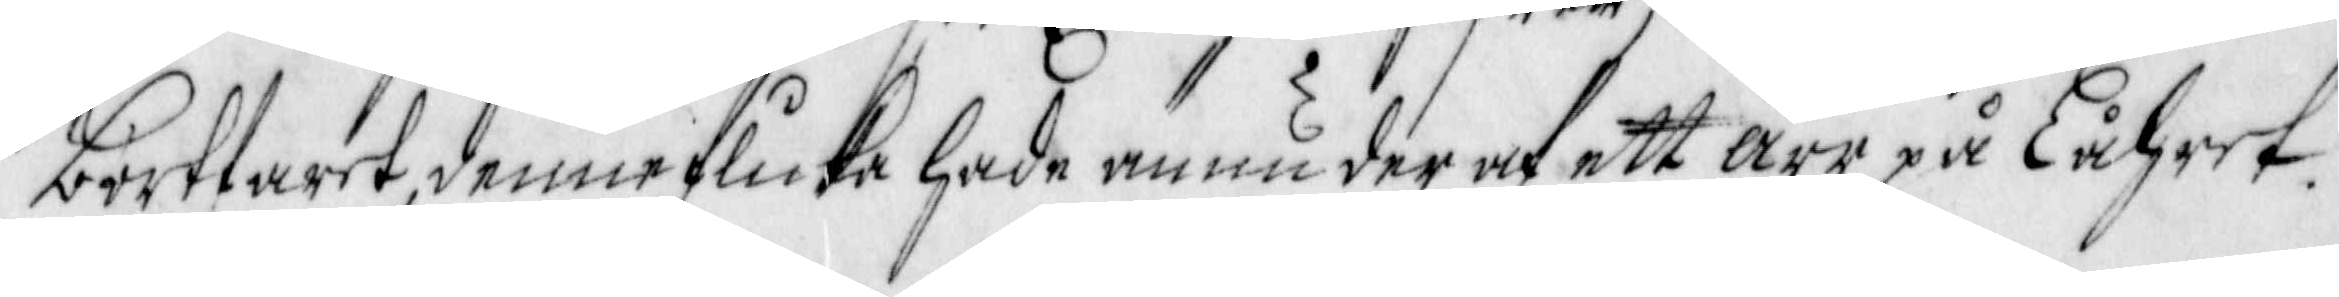bortfaret, denne flicka hade ännu der af ett ärr på Låhret.
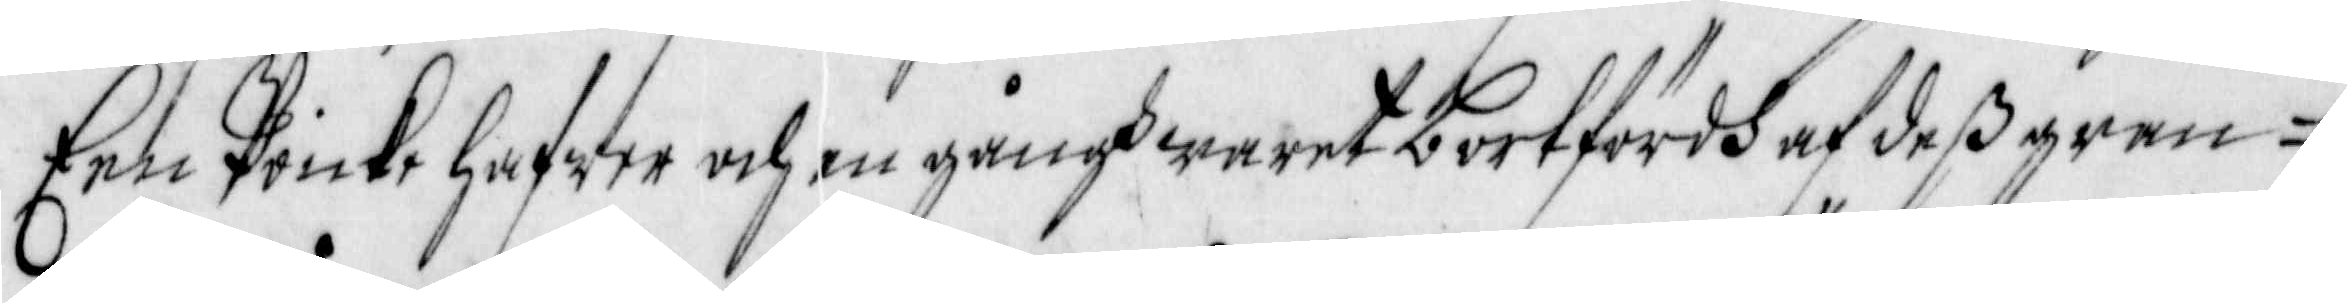Een Poicke hafwer och en gångh waret bortfördh af deß gran¬
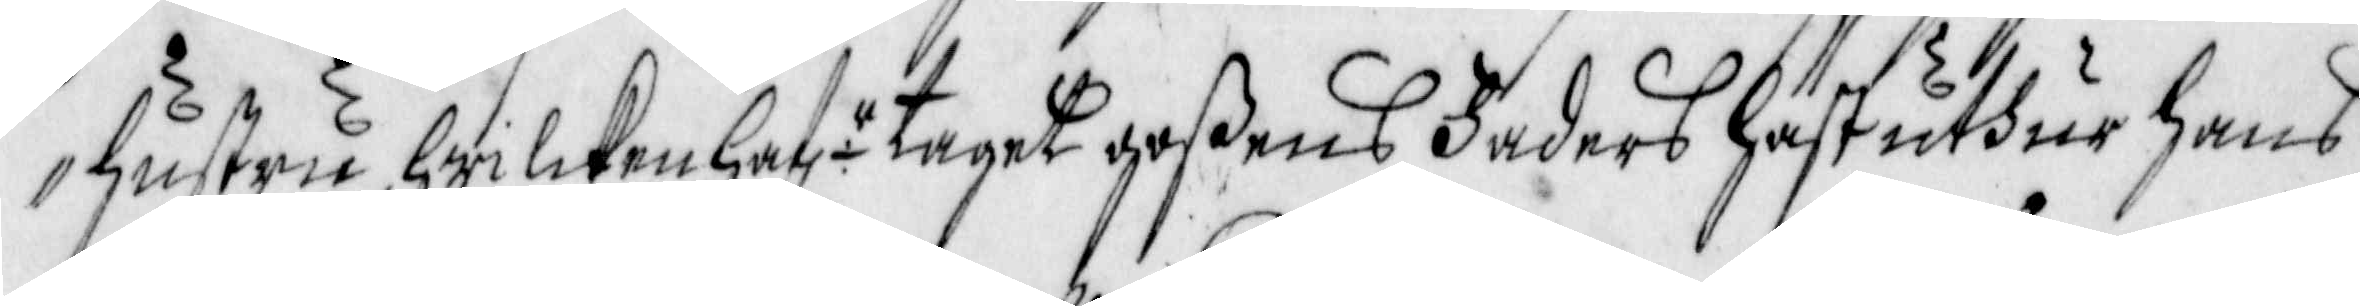Hustru, Hwilcken haf r taget goßens Faders häst uthur hans
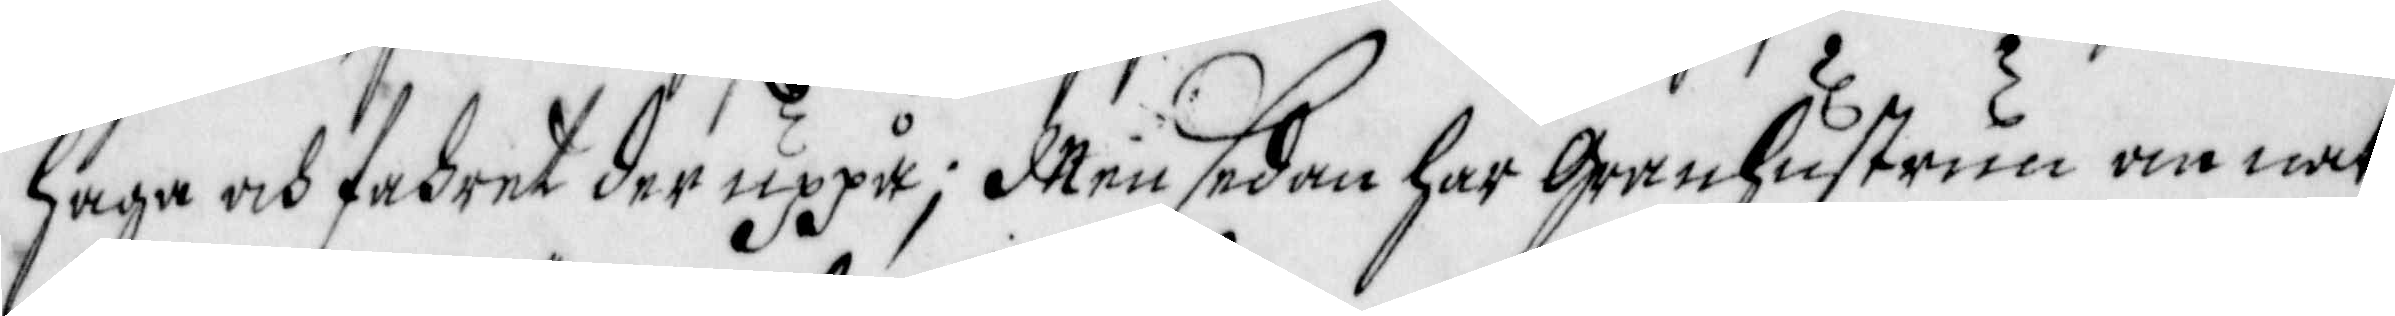haga och fahret der uppå; Men sedan har Granhustrun om nat¬
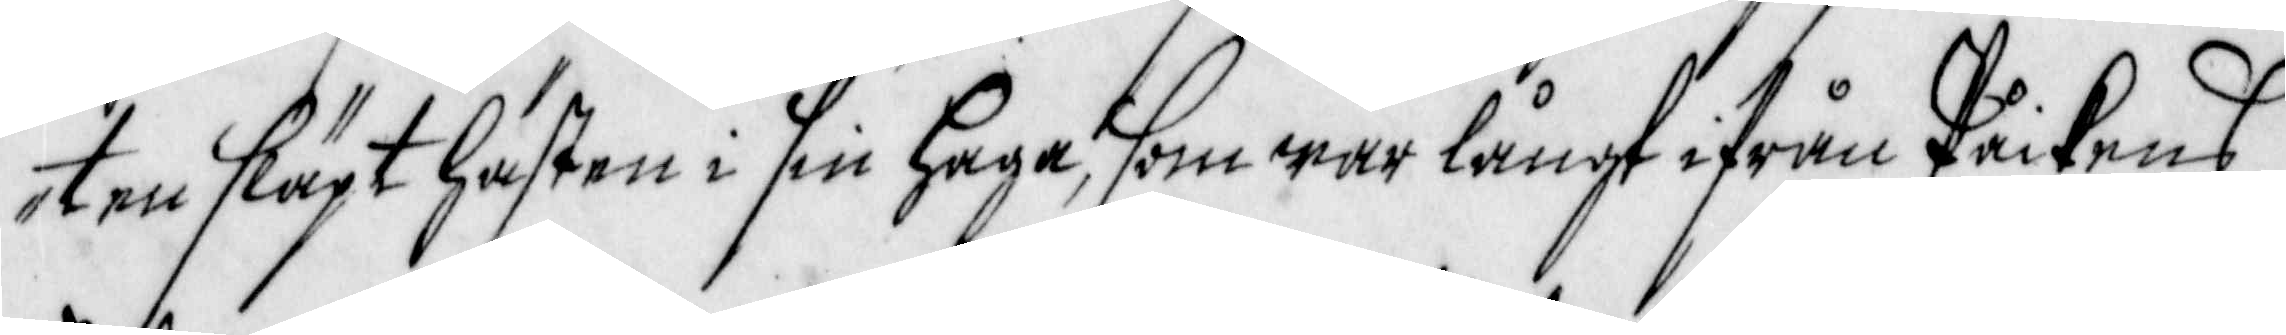ten släpt hästen i sin haga, som war långt ifrån Poikens
